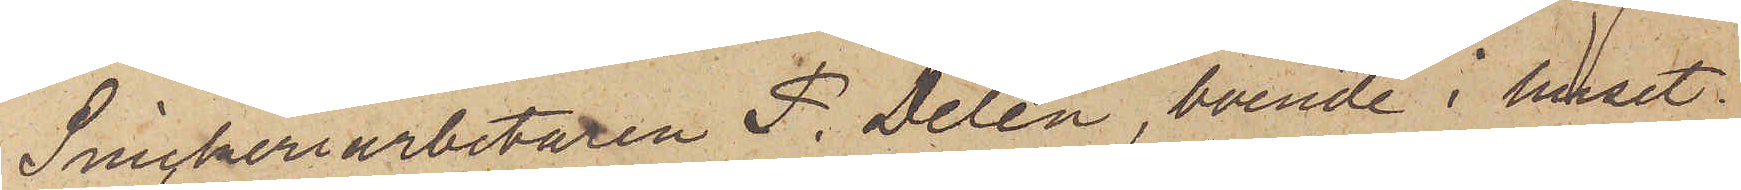Snickeriarbetaren F. Delén, boende i huset
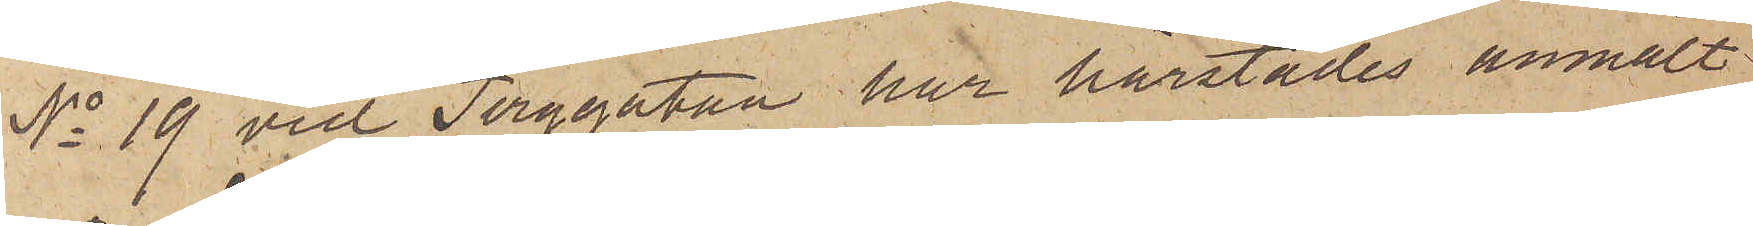No 19 vid Torggatan har härstädes anmält,
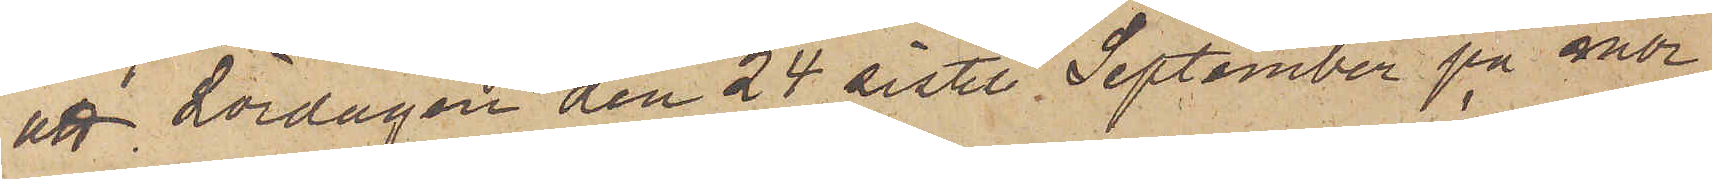att Lördagen den 24 sistl. September på mor¬
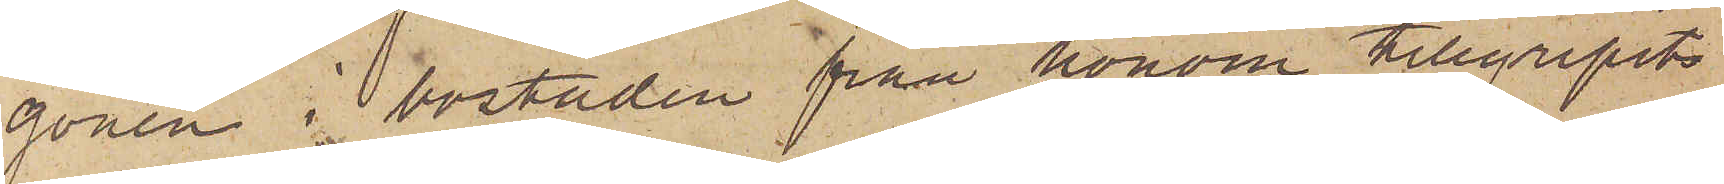gonen i bostaden från honom tillgripits
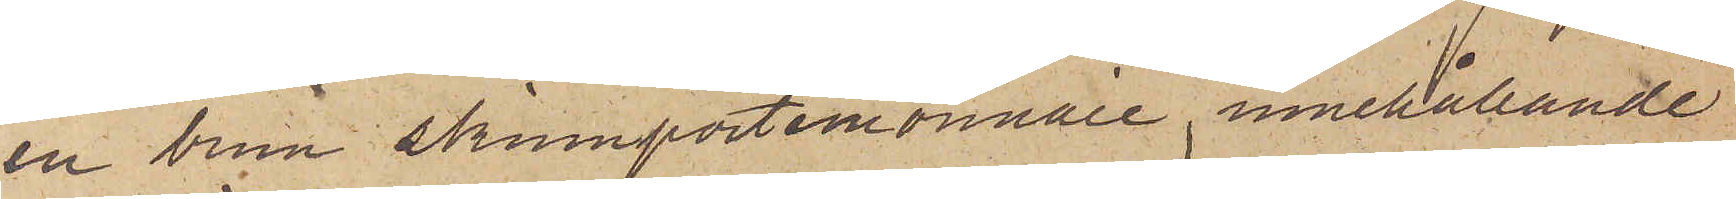en brun skinnportemonnaie, innehållande
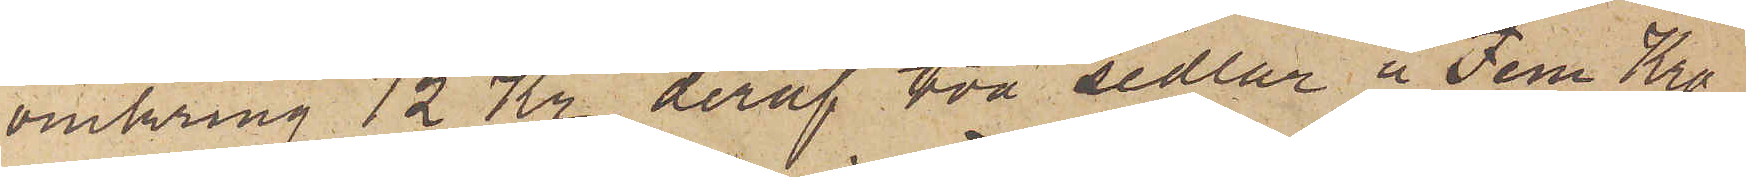omkring 12 Kr, deraf två sedlar å Fem Kro¬
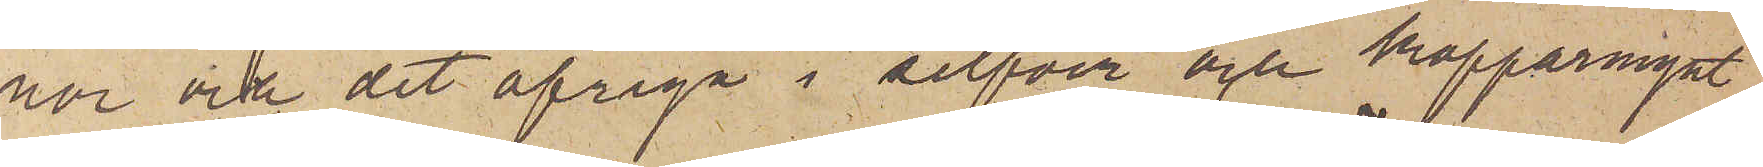nor och det öfriga i silfver och kopparmynt
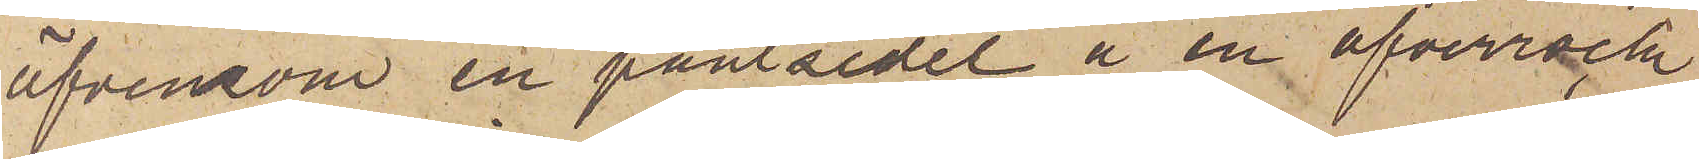äfvensom en pantsedel å en öfverrock
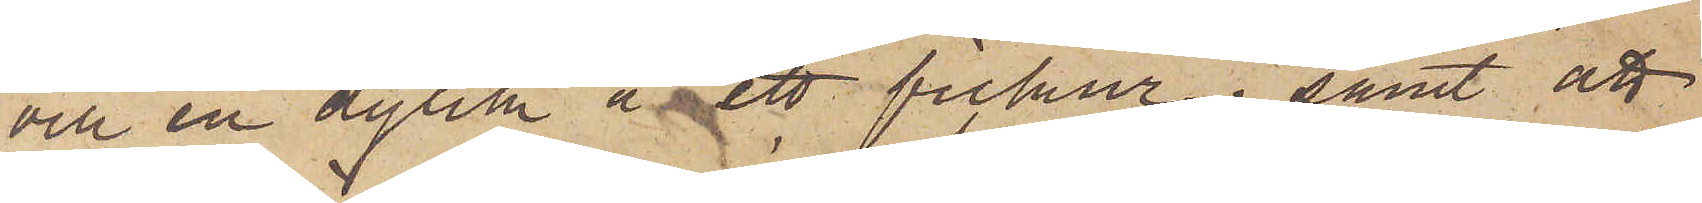och en dylik å ett fickur; samt att
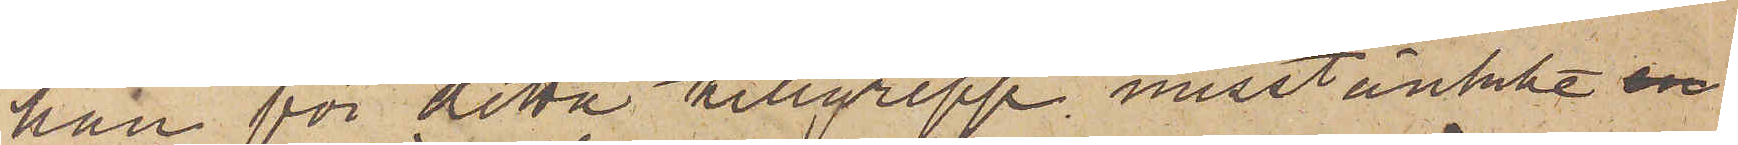han för detta tillgrepp misstänkte 
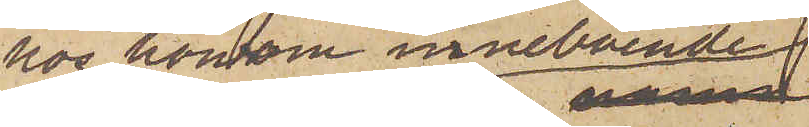hos honom inneboende
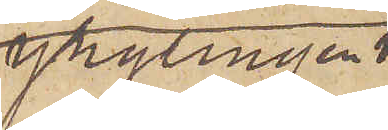ynglingen
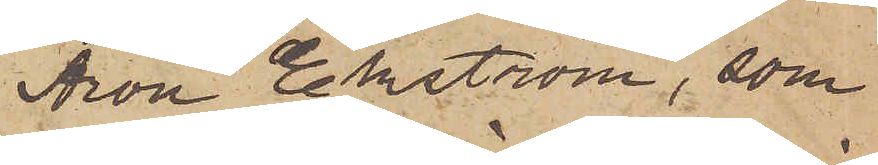Aron Ekström, som
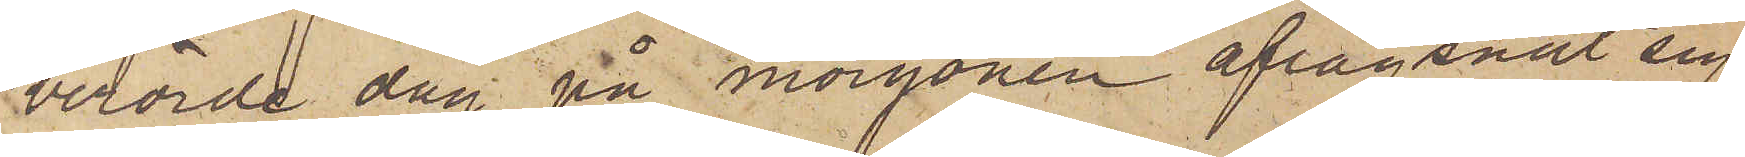berörde dag på morgonen aflägsnat sig
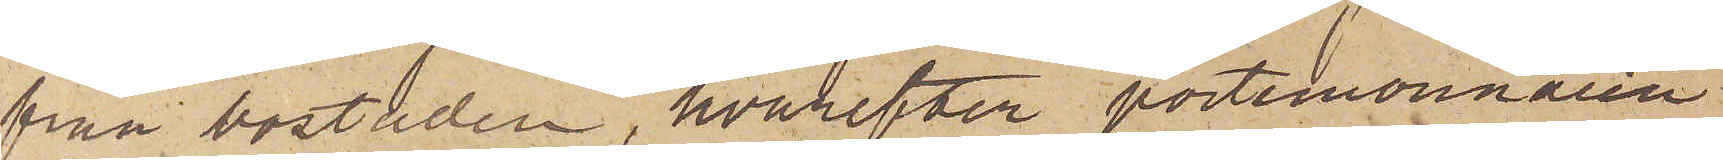från bostaden, hvarefter portmonnaien
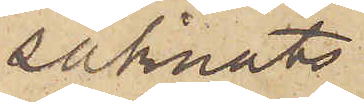saknats.
